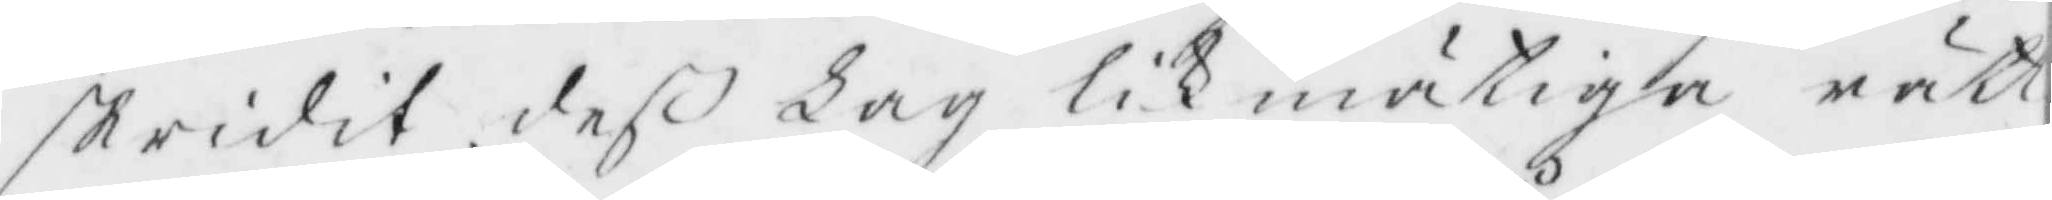skridit deß Lag likmätiga rätt¬
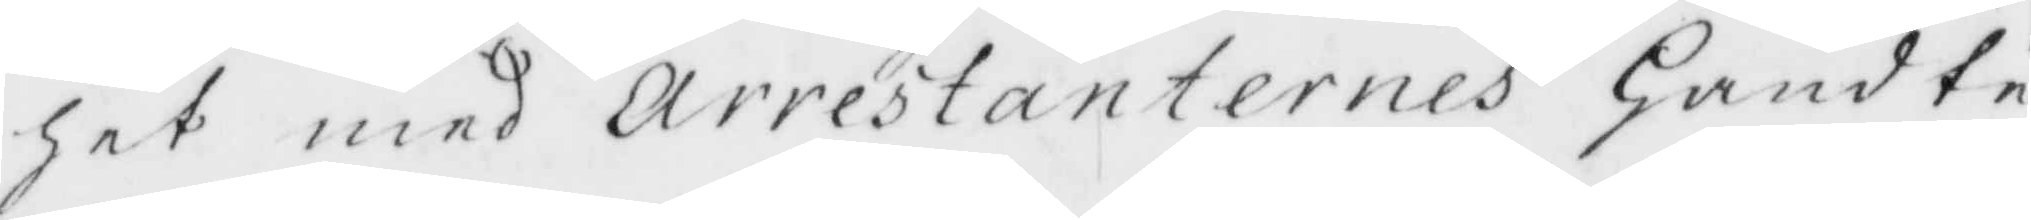het med arrestanternes Handte¬
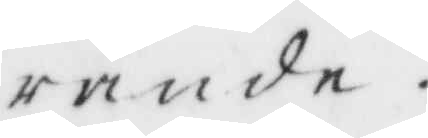rande.
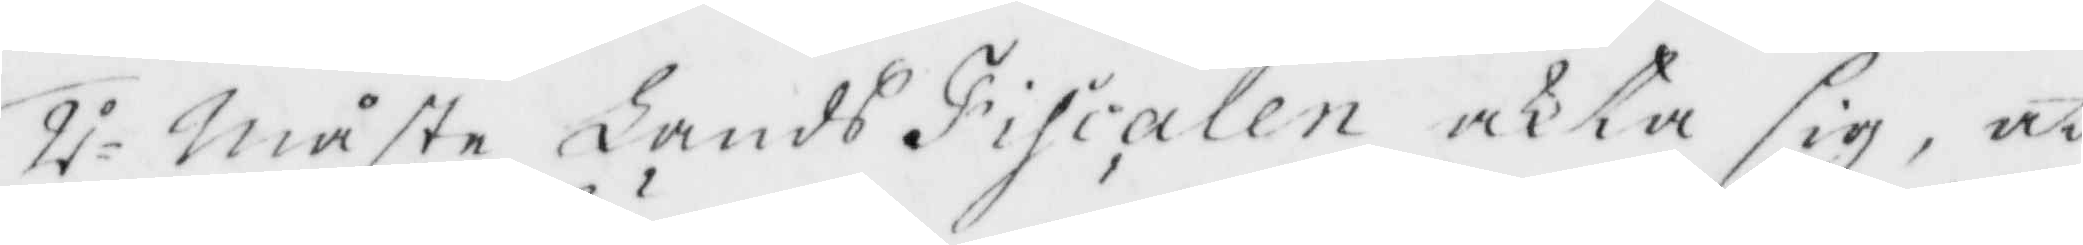2.o Måste Lands Fiscalen akta sig, at
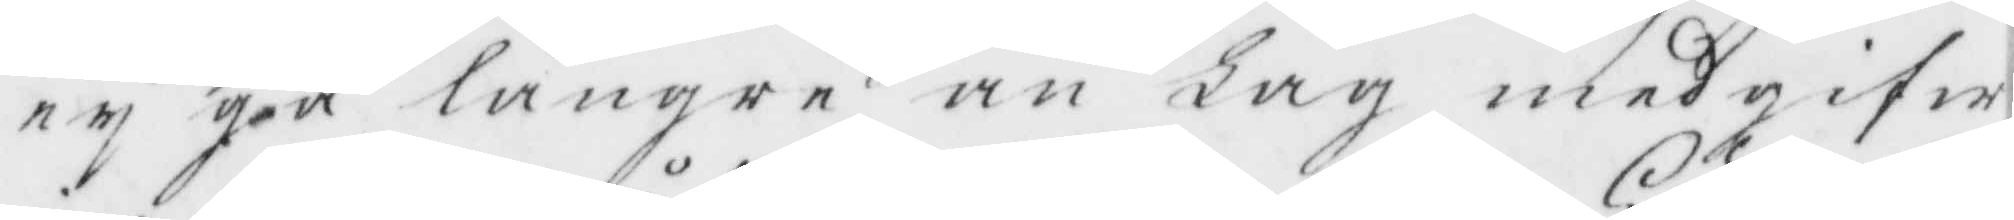ey gå längre än Lag medgifw
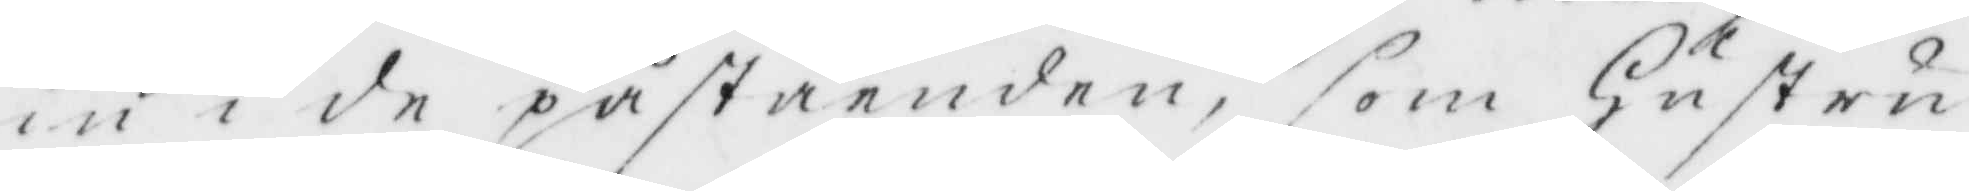in i de påståenden, som Hustru¬
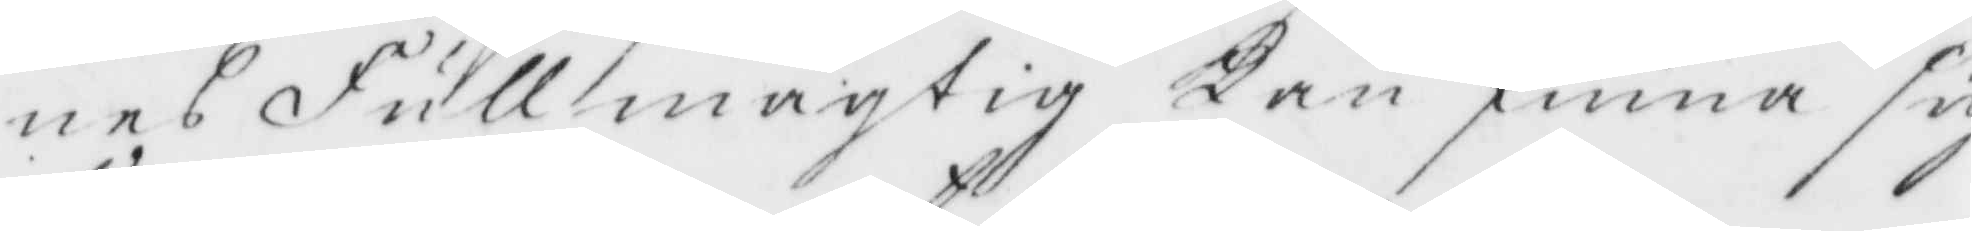nes Fullmägtig Kan finna sig
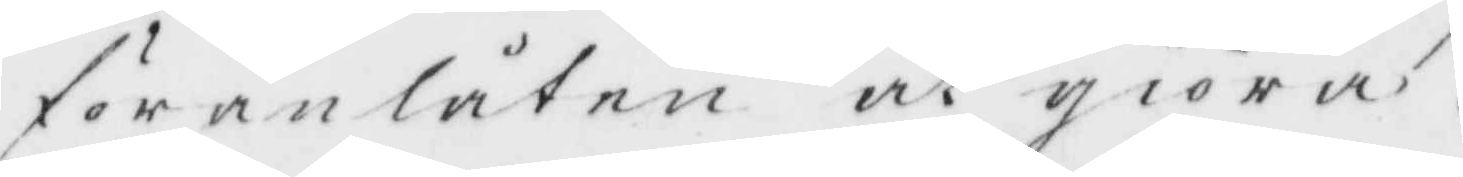föranlåten at giöra.
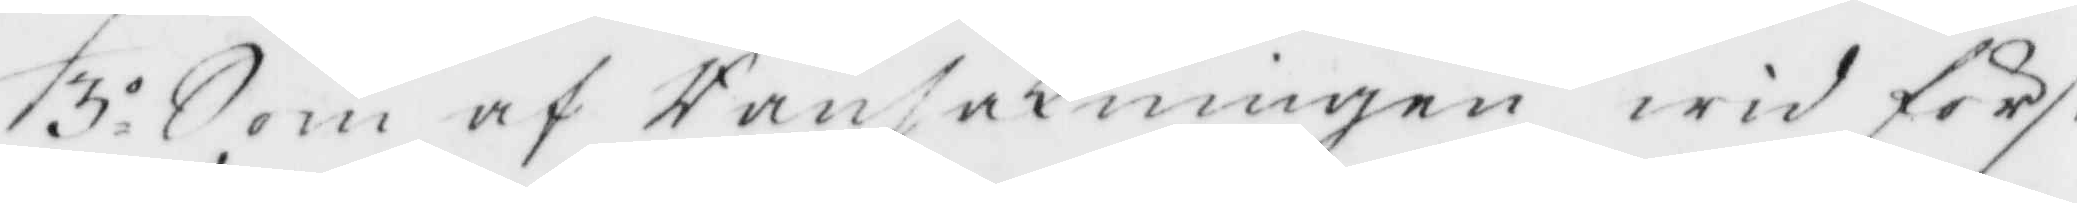3.o Som af Ransakningen wid först
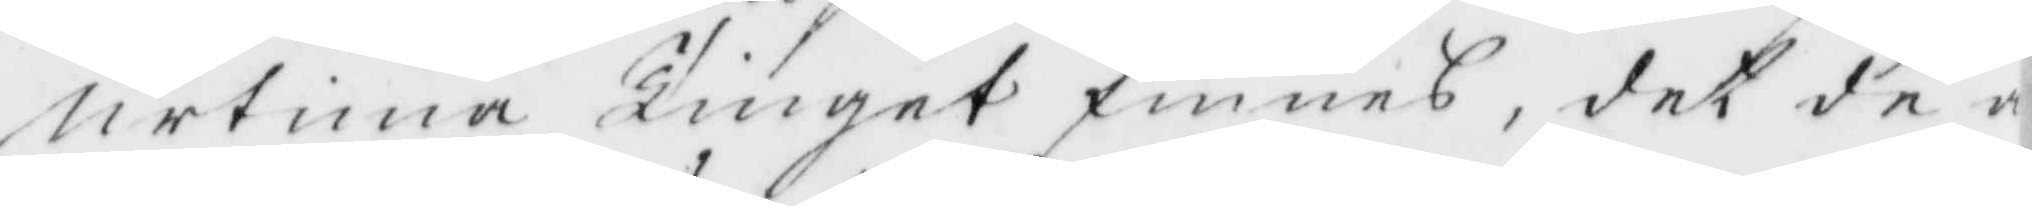urtima Tinget finnes, det de a¬
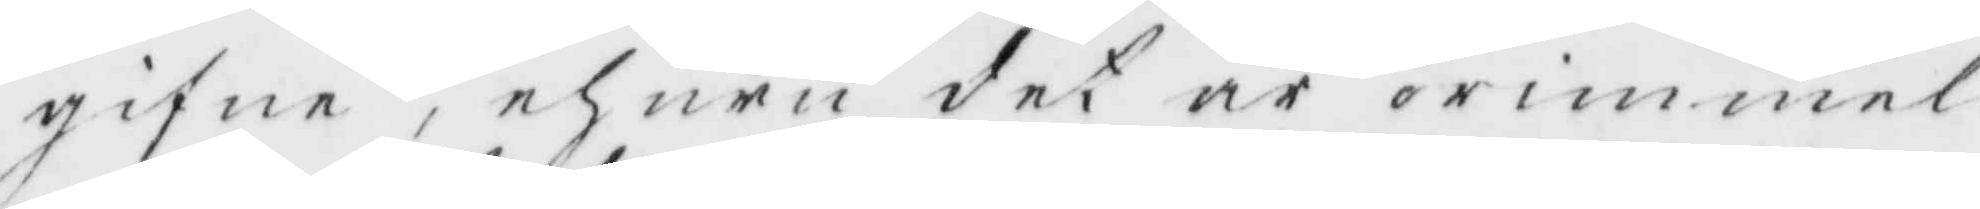gifne, ehuru det är orimmel
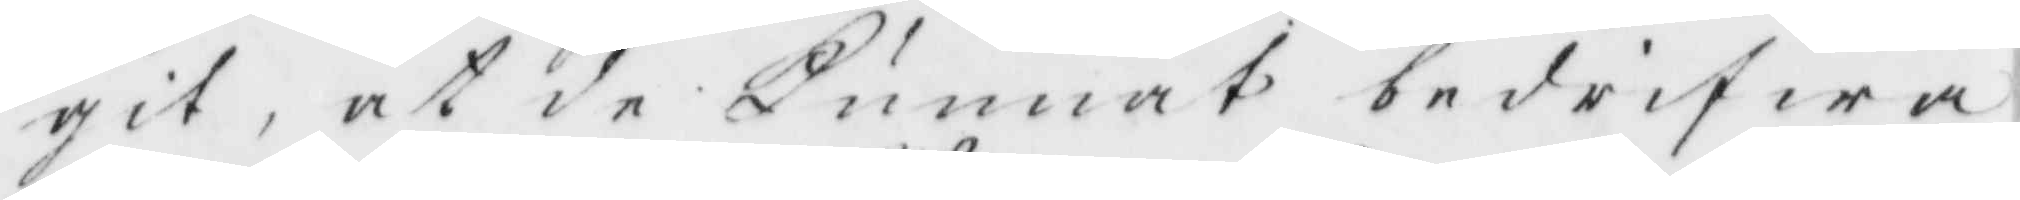git, at de kunnat bedrifwa
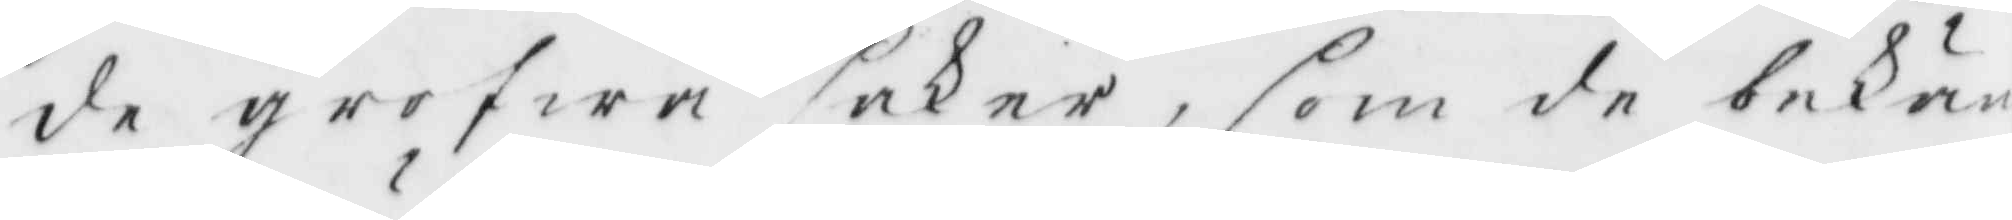de grofwa saker, som de bekän
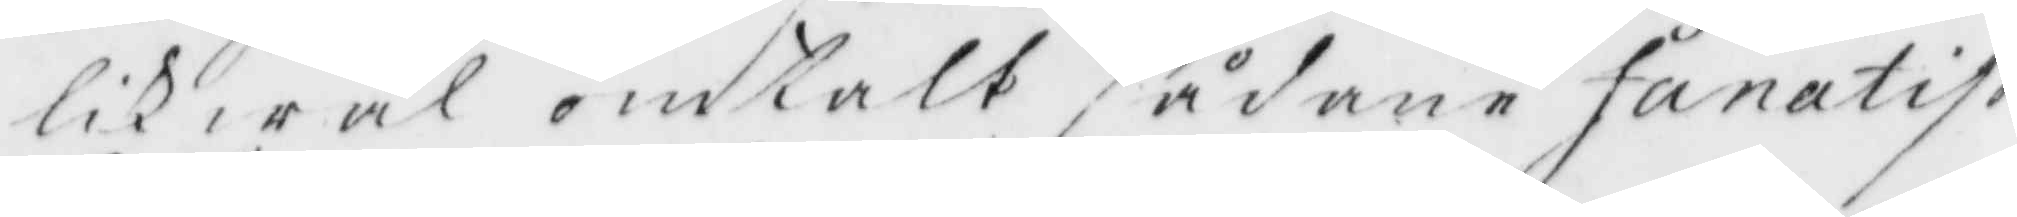likwäl omtalt sådane fånatis
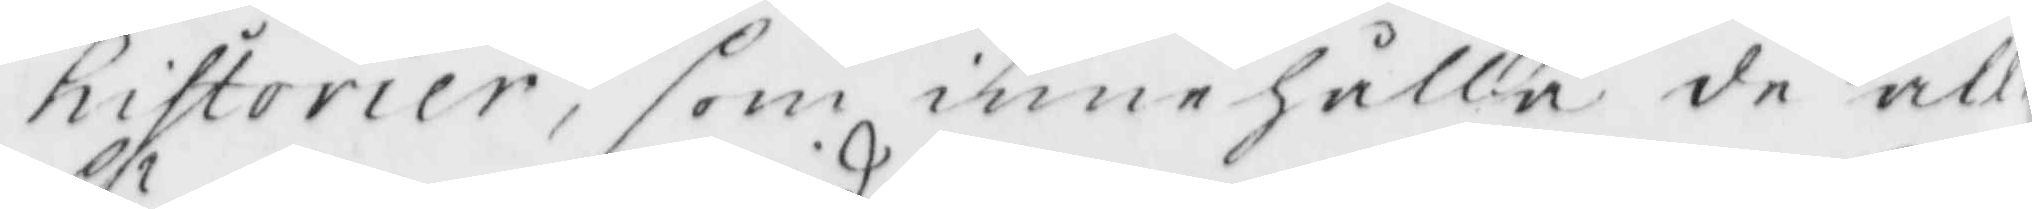historier, som innehålla de all
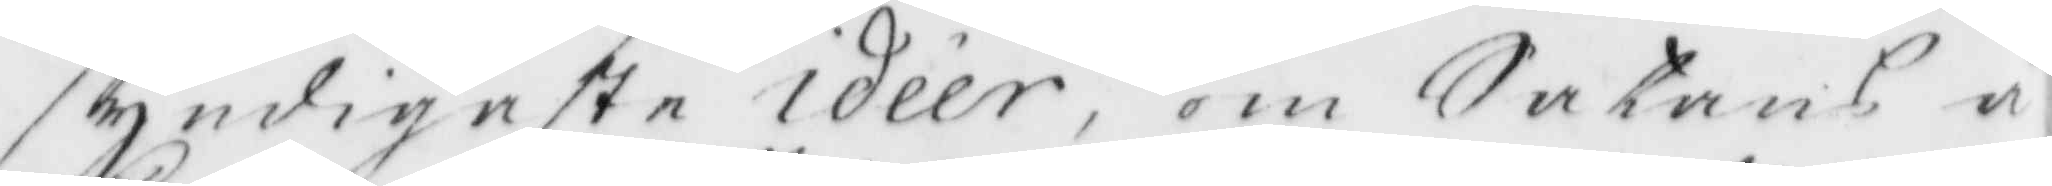syndigaste idéer, om Satans å¬
